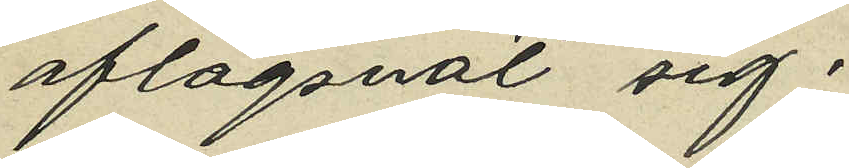aflägsnat sig;
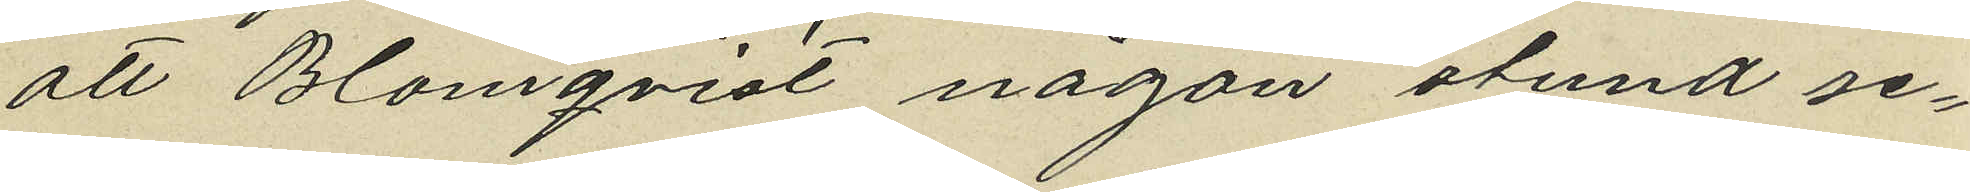att Blomqvist någon stund se¬
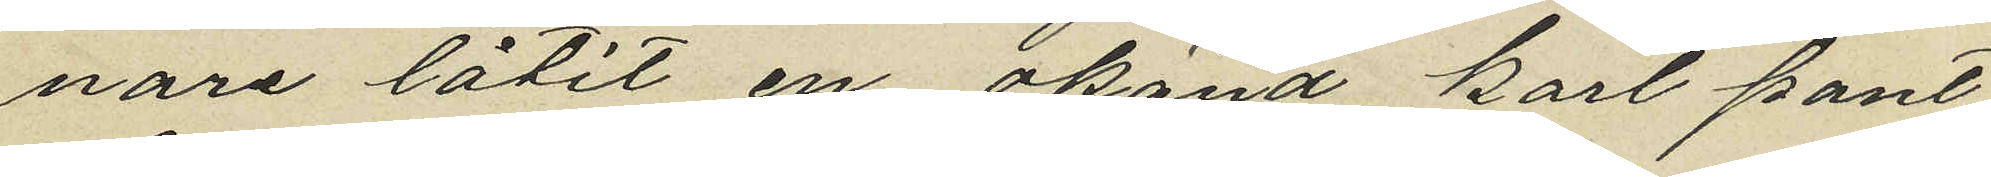nare låtit en okänd karl pant¬
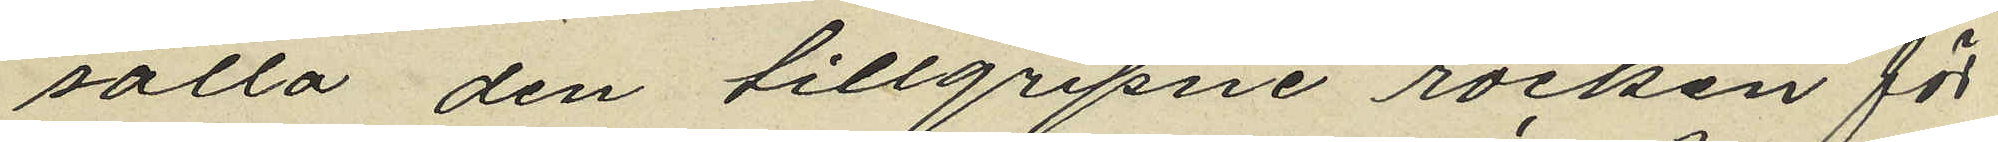sätta den tillgripne rocken för
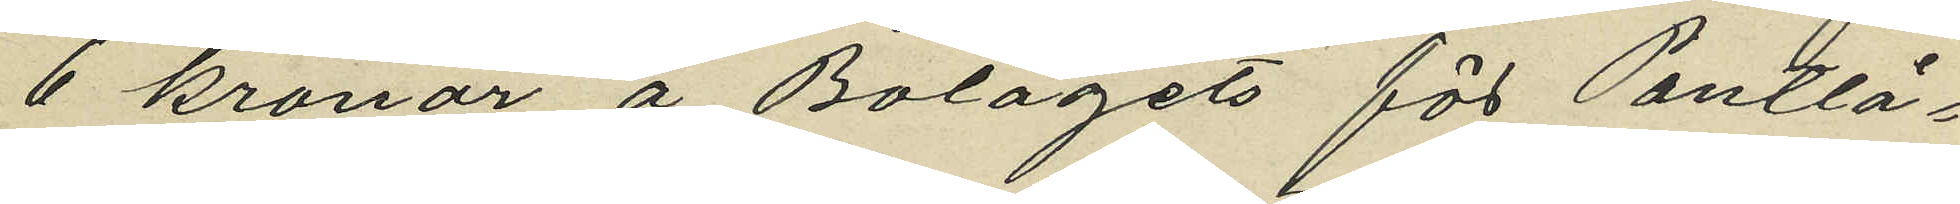6 kronor å Bolagets för Pantlå¬
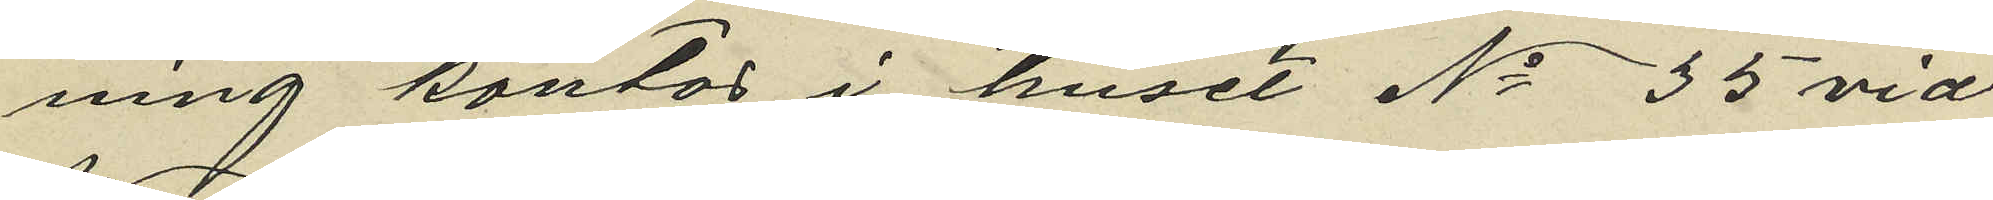ning kontor i huset No 35 vid
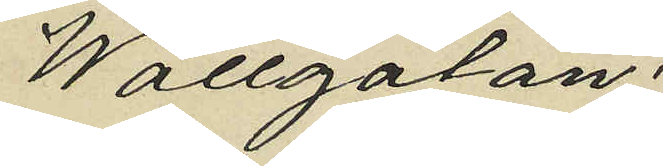Wallgatan:
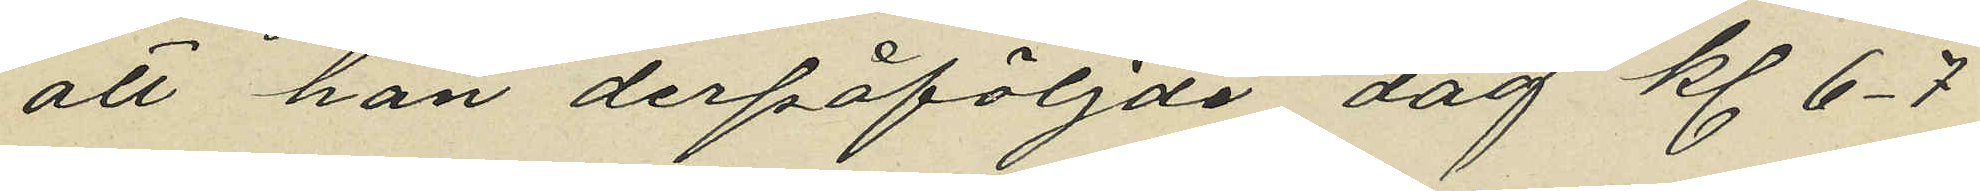att han derpåföljde dag kl 6-7
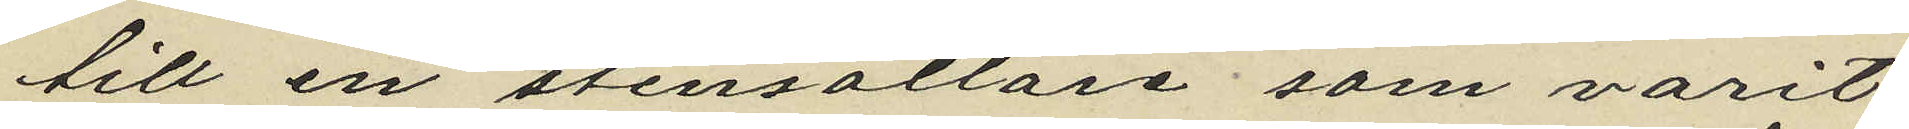till en stensättare som varit
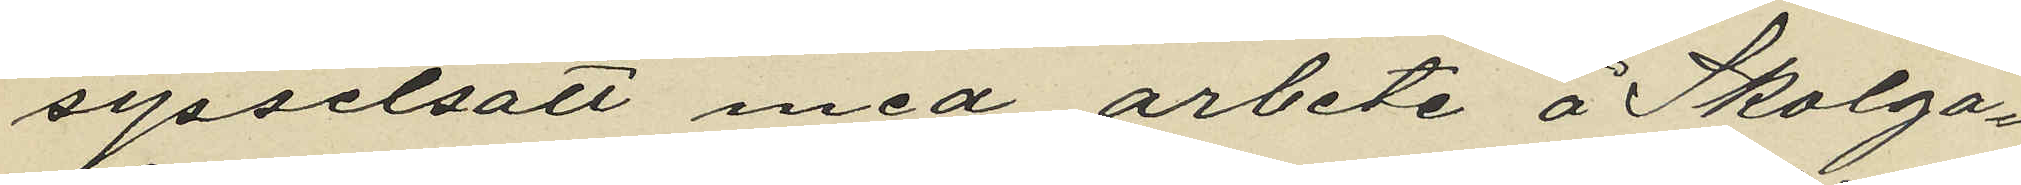sysselsatt med arbete å Skolga¬
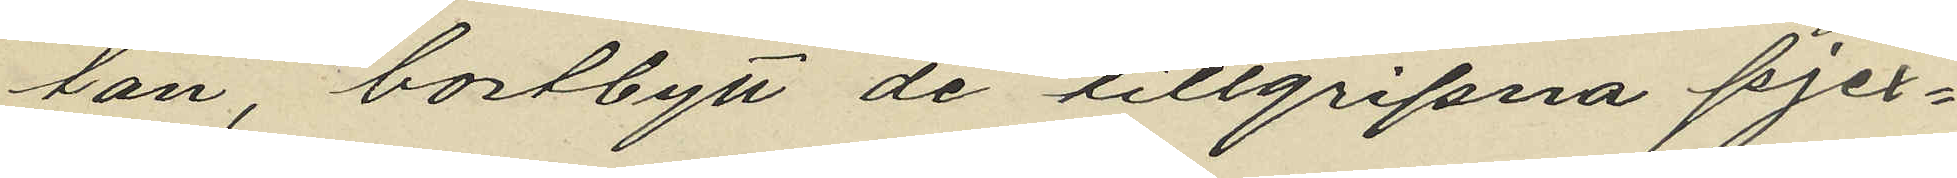lan, bortbytt de tillgripna pjex¬
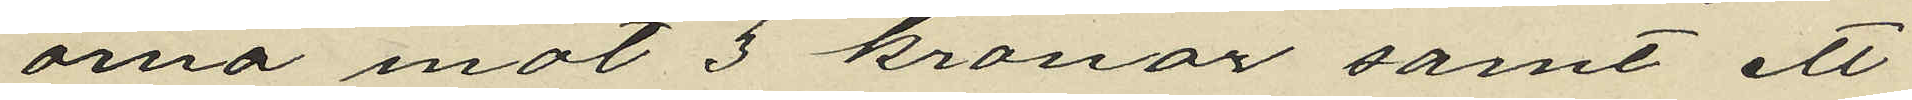orna mot 3 kronor samt ett
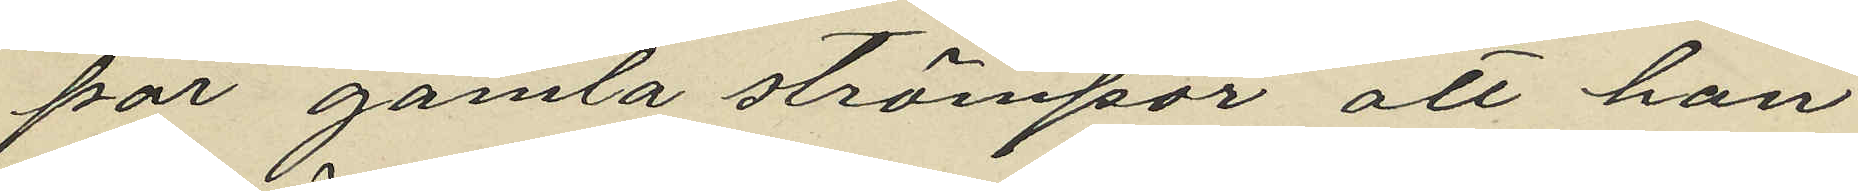par gamla strömpor att han
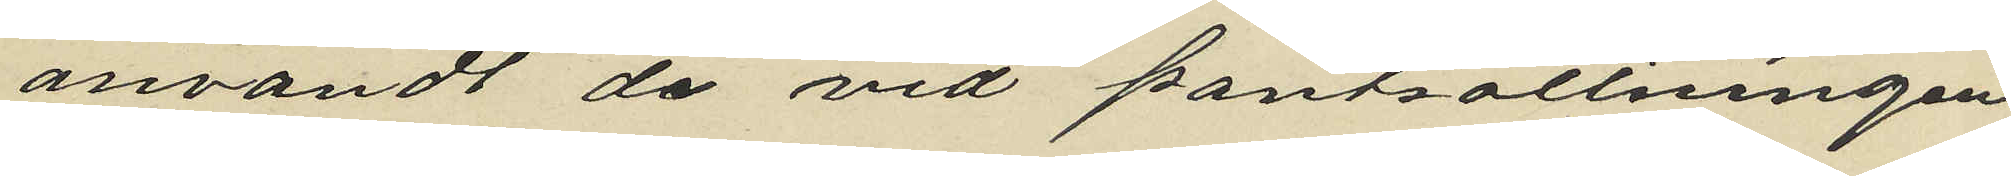användt de vid pantsättningen
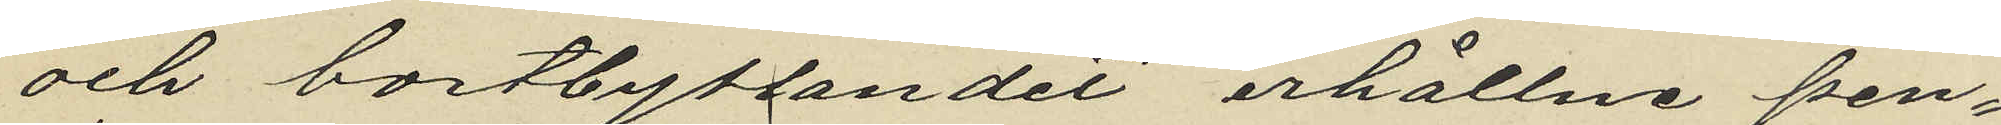och bortbytandet erhållne pen¬
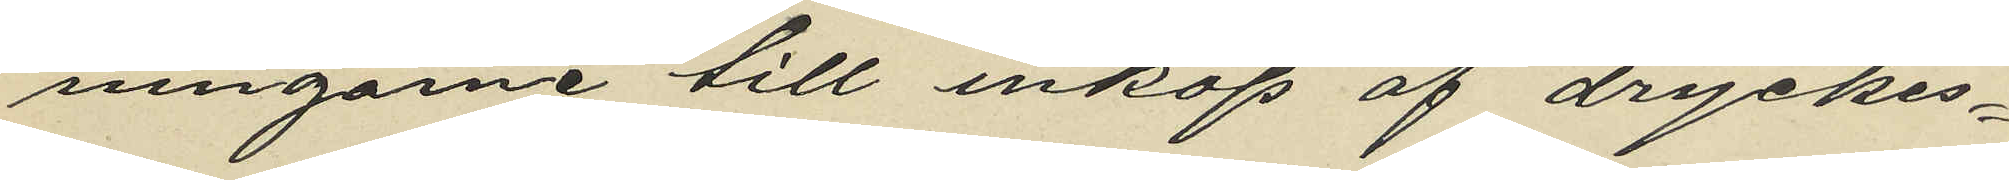ningarne till inköp af dryckes¬
